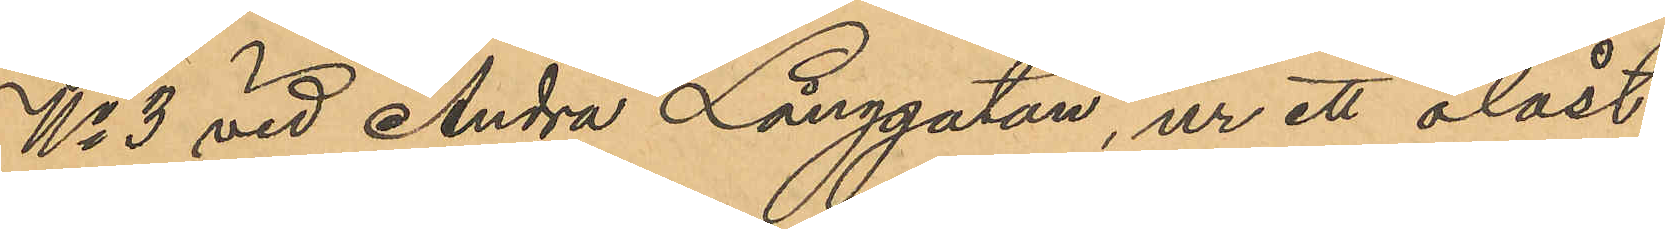No 3 vid Andra Långgatan, ur ett olåst
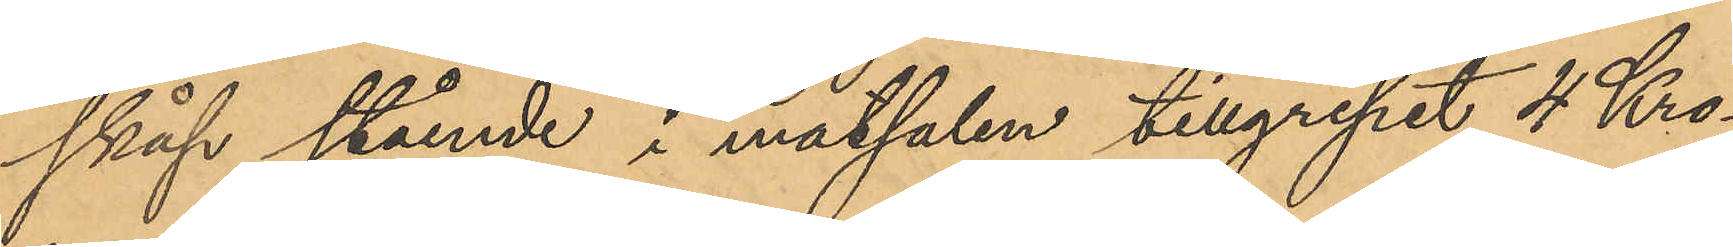skåp stående i matsalen tillgripit 4 Kro¬
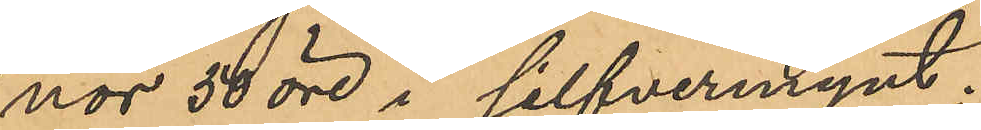nor 50 öre i silfvermynt;
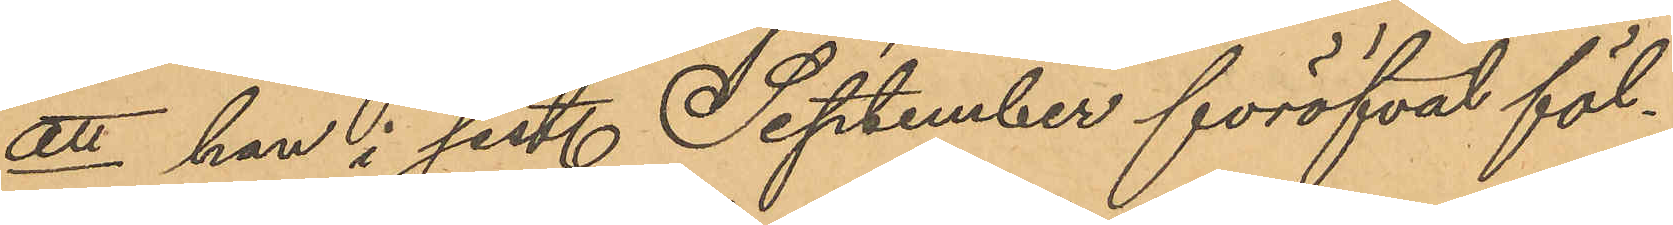att han i sist. September föröfvat föl¬
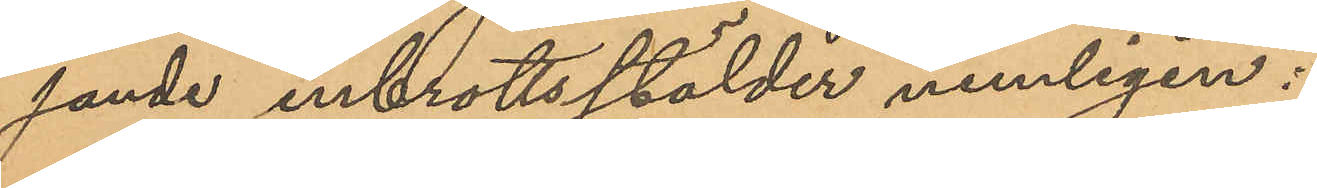jande inbrottsstölder nemligen:
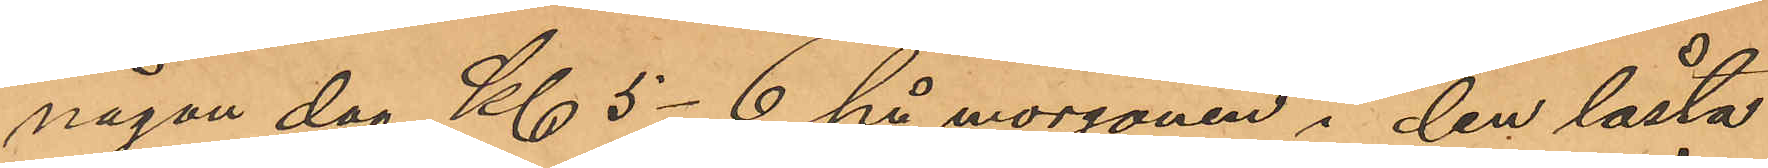någon dag Kl. 5-6 på morgonen i den låsta
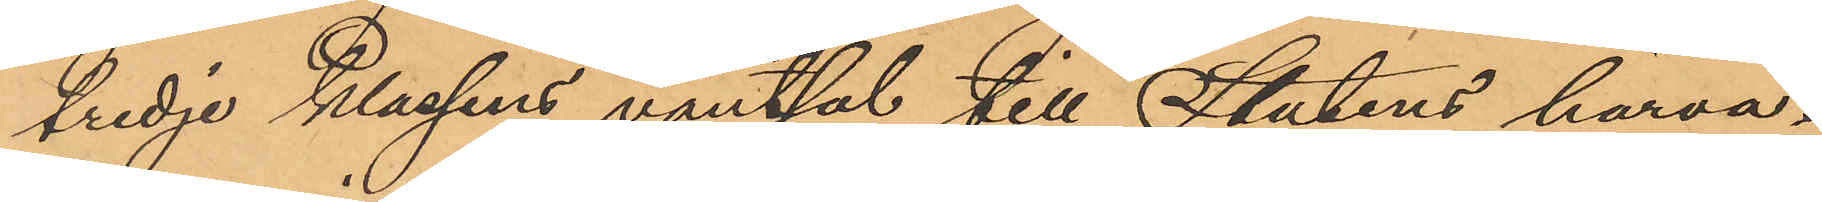tredje Klassens väntsal till Stadens härva¬
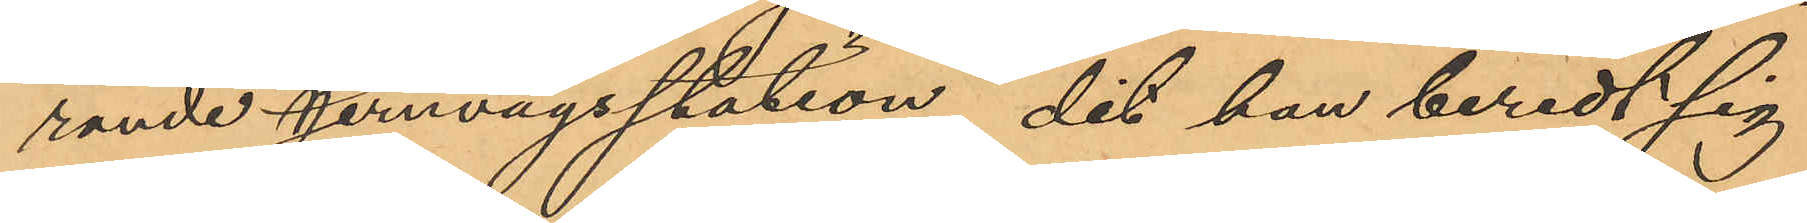rande jernvägsstation, dit han beredt sig
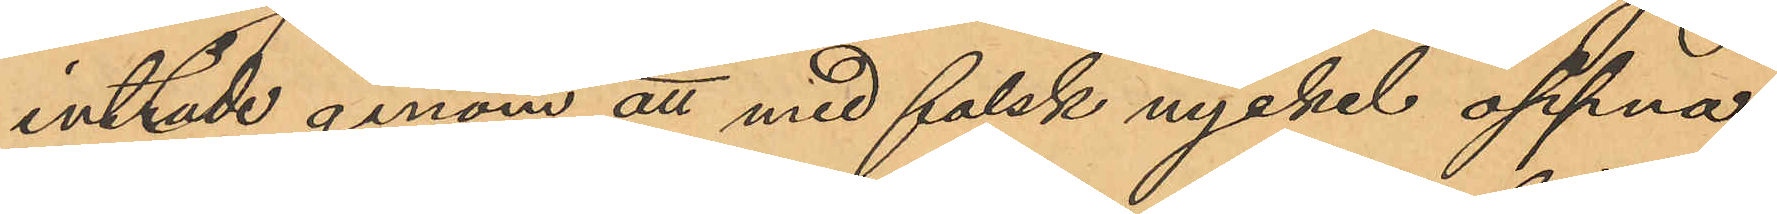inträde genom att med falsk nyckel öppna
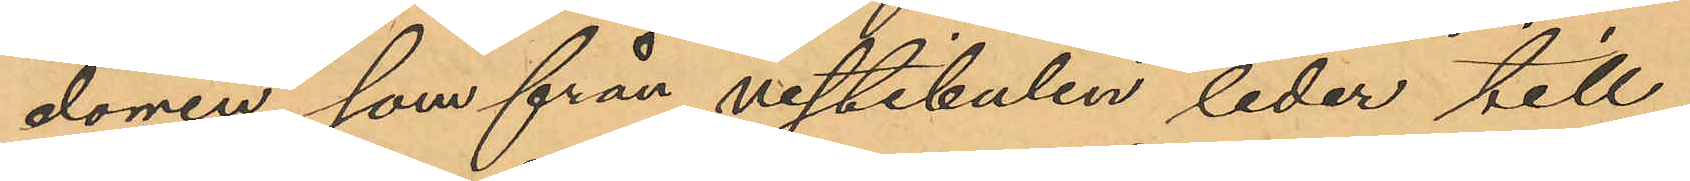dörren, som från vestibulen leder till
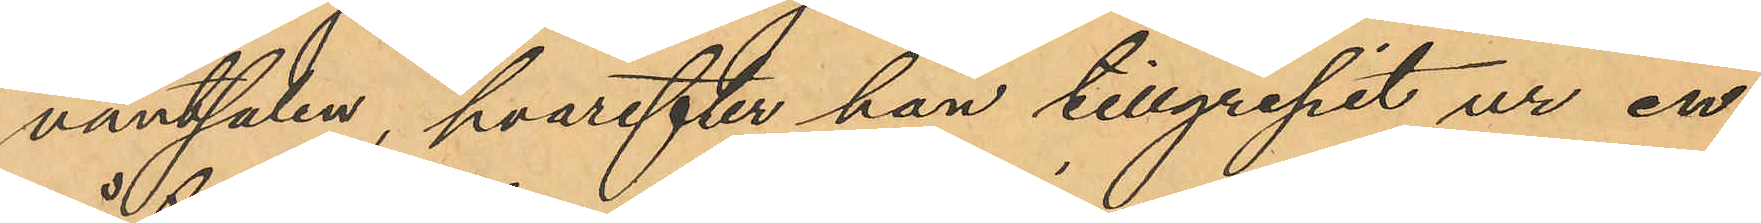väntsalen, hvarefter han tillgripit ur en
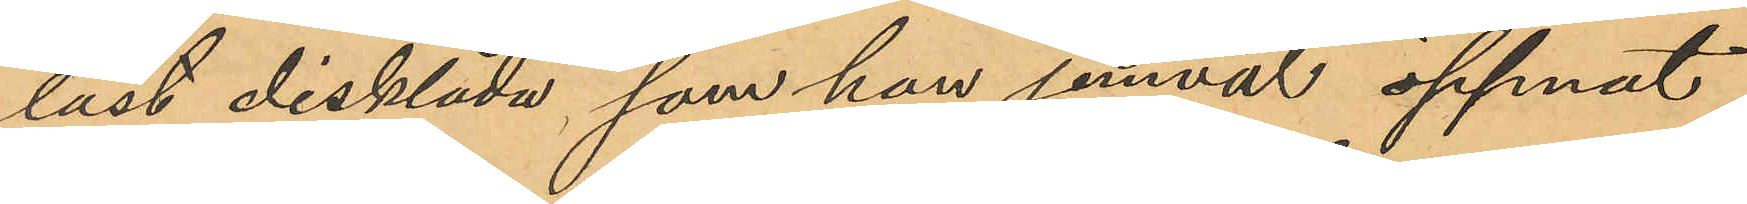låst disklåda, som han jemväl öppnat
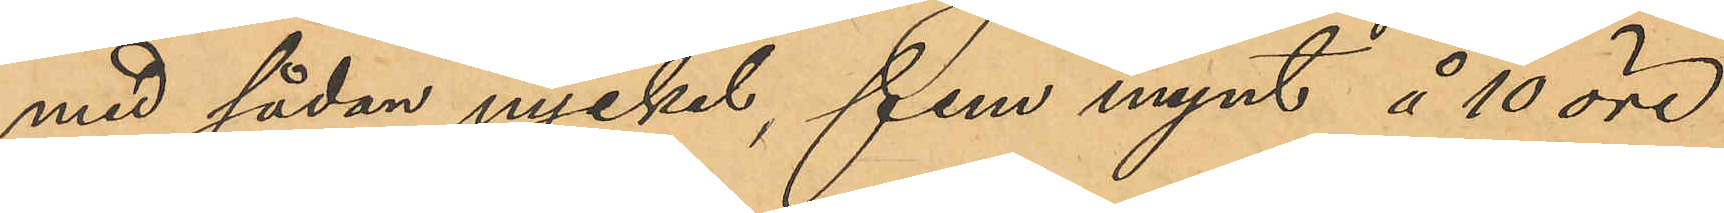med sådan nyckel, fem mynt å 10 öre
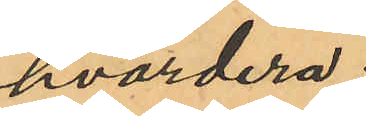hvardera;
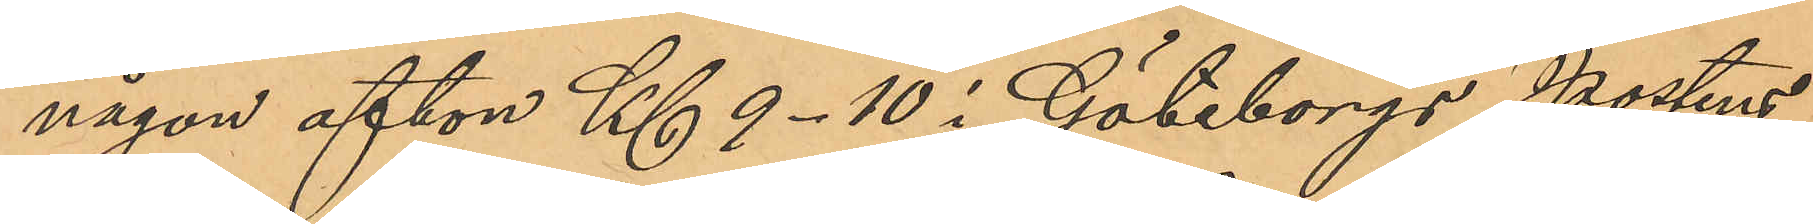någon afton Kl. 9-10 i Göteborgs Postens
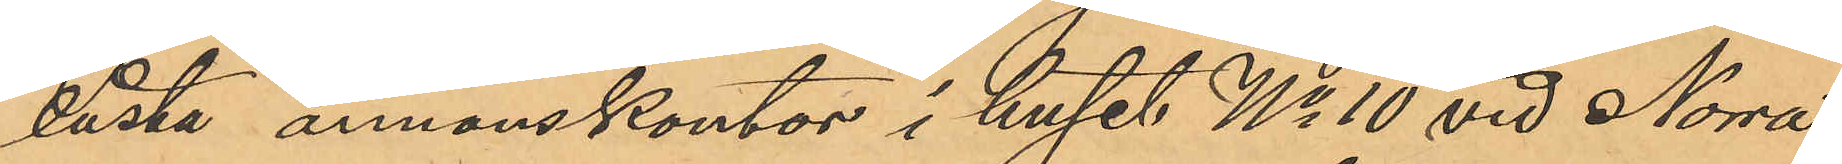låsta annonskontor i huset No 10 vid Norra
